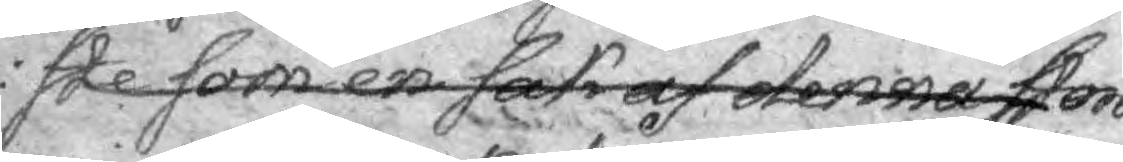ste som en sak af denna stora
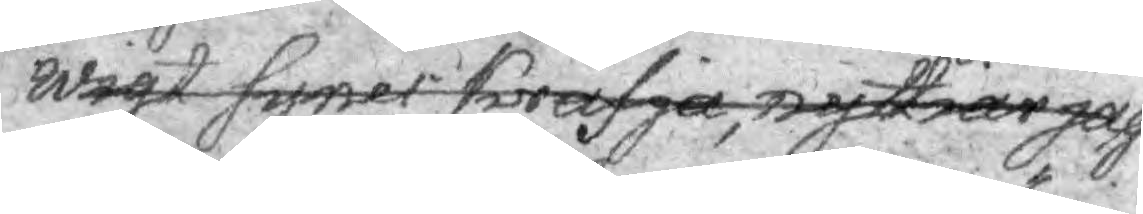wigt syner kräfja, nyttiar jag
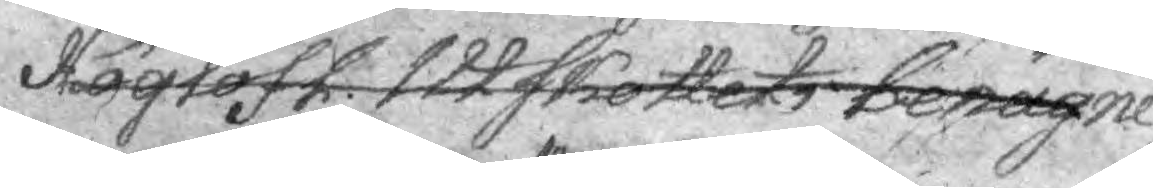Höglofl. Utskottets benägne
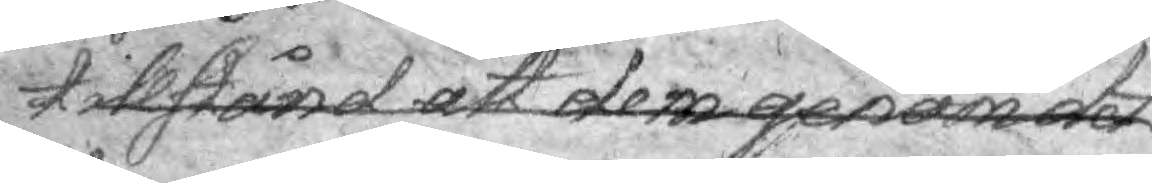tillstånd at dem genom det¬
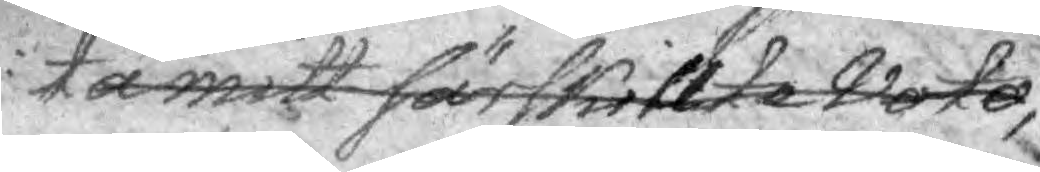ta mitt särskillte Voto,
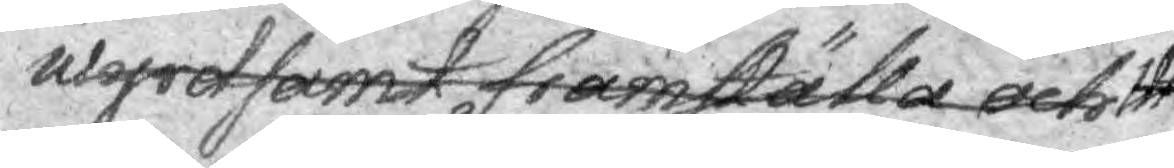 wyrdsamt framställa och
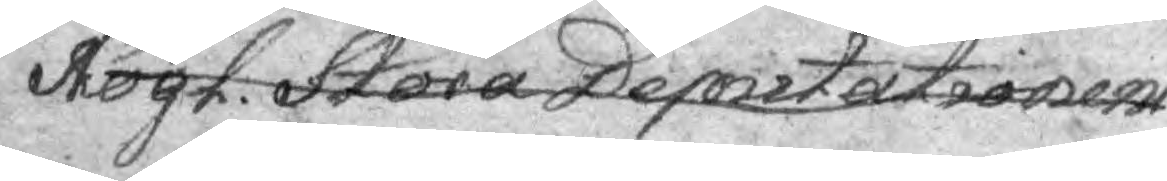Högt Stora Deputationen
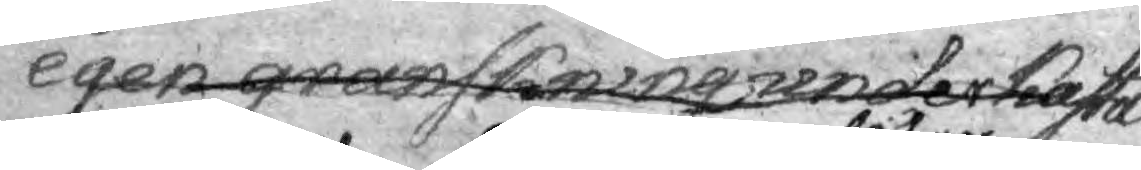egen granskning der kasta
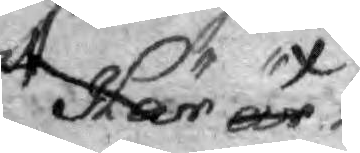att Här är
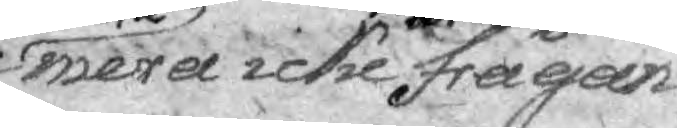nu här icke mera icke bliwfer frågan
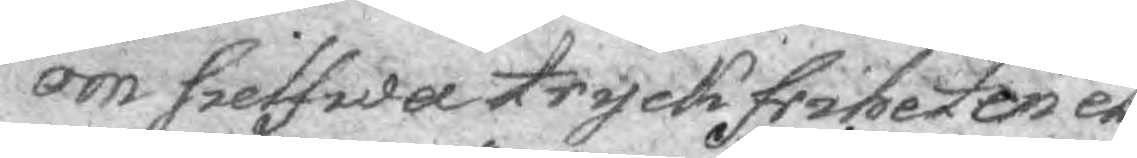om sielfwa tryckfriheten el¬
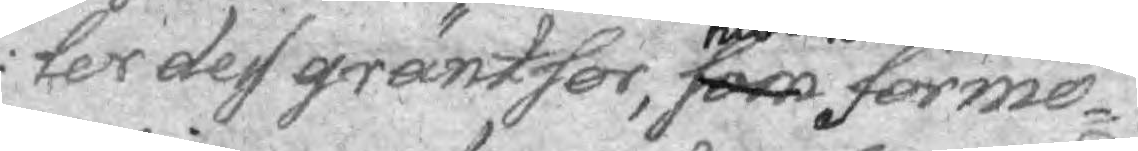ler des gräntser, som hwilka förmo¬
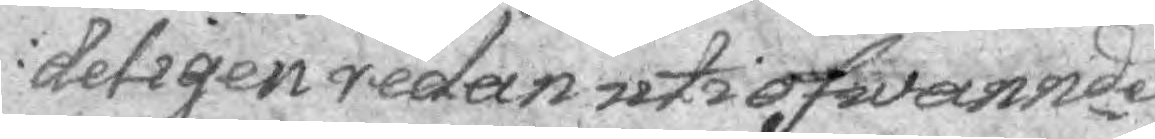deligen redan uti ofwannde
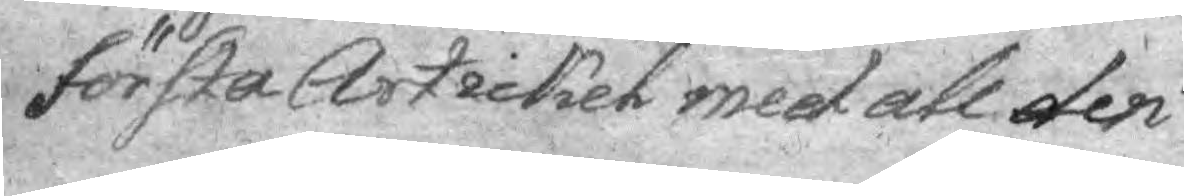första Artickel med all den
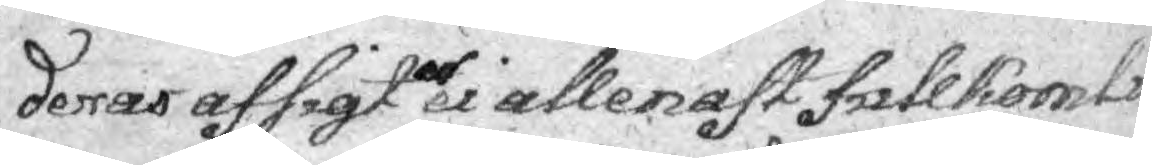deras afsigt ei allenast fullkomli¬
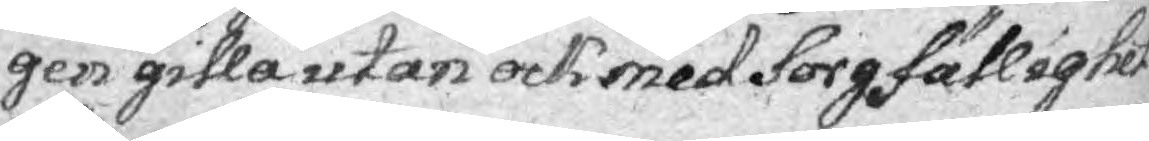gen gilla utan ock med Sorgfällighet
